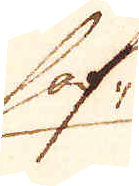haf-
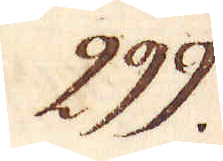299.
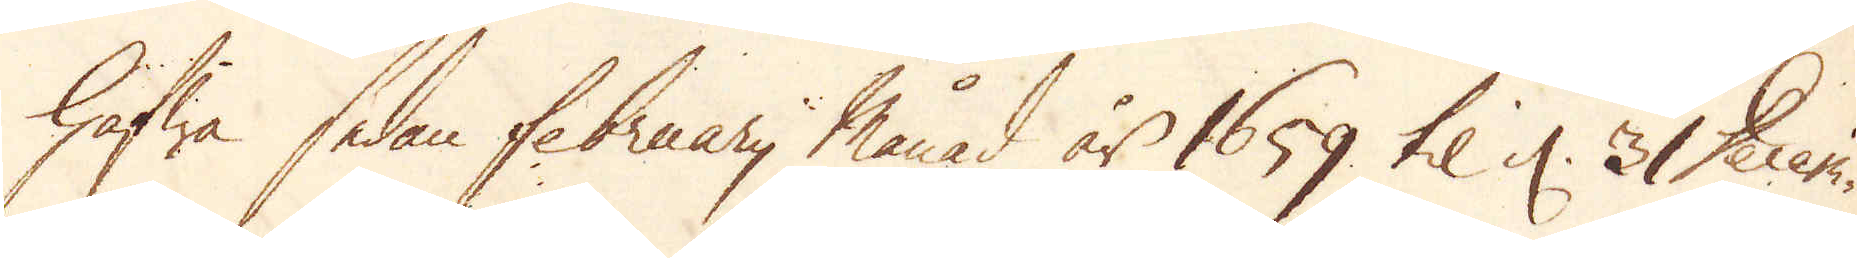hafwa sedan februarij månad år 1659 til d. 31 Decen.
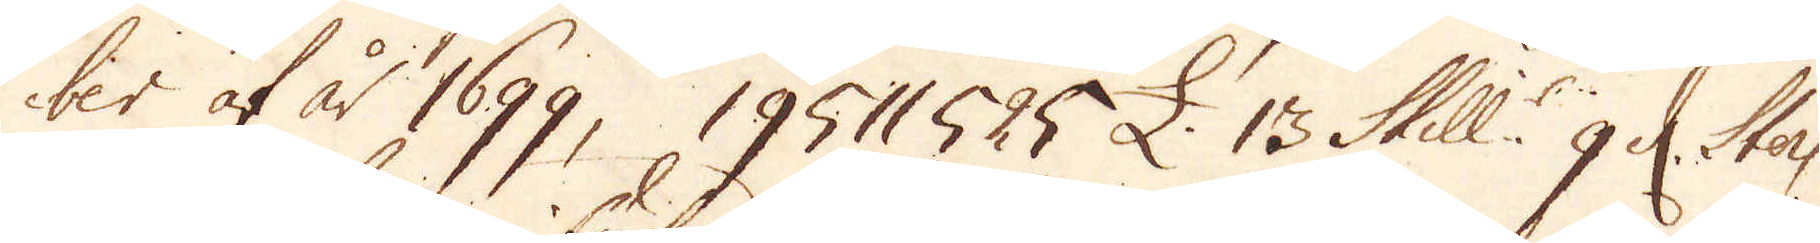ber af år 1699, 19511525 £. 13 Skill:r 9 d. Sterl.
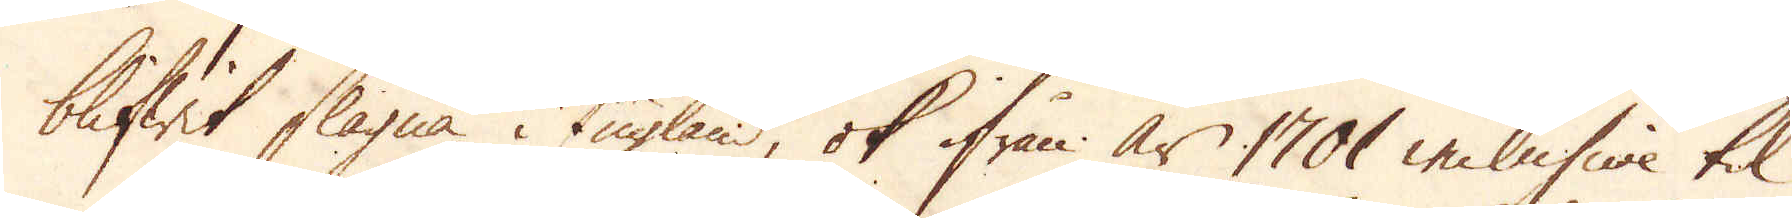blifwit slagna i England, ok ifrån år 1701 inclusive til
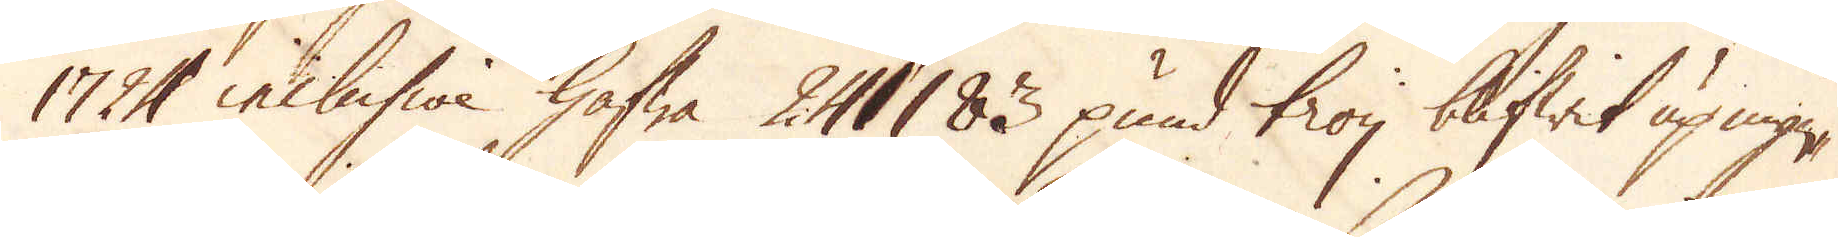1724 inclusive hafwa 241183 pund troy blifwit up myn-
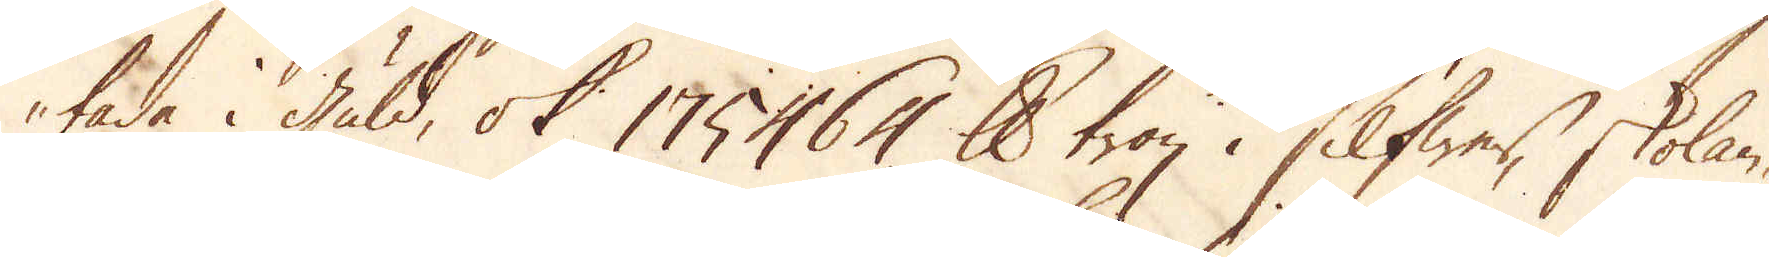tade i guld, ok 175464 skålpund troy i Silfwer, skolan-
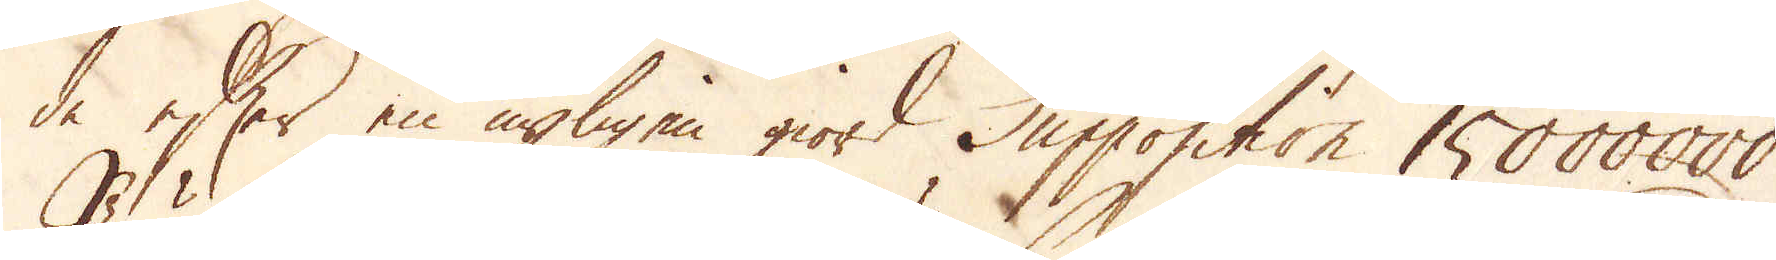de efter en nyligen giord Supposition 15000000
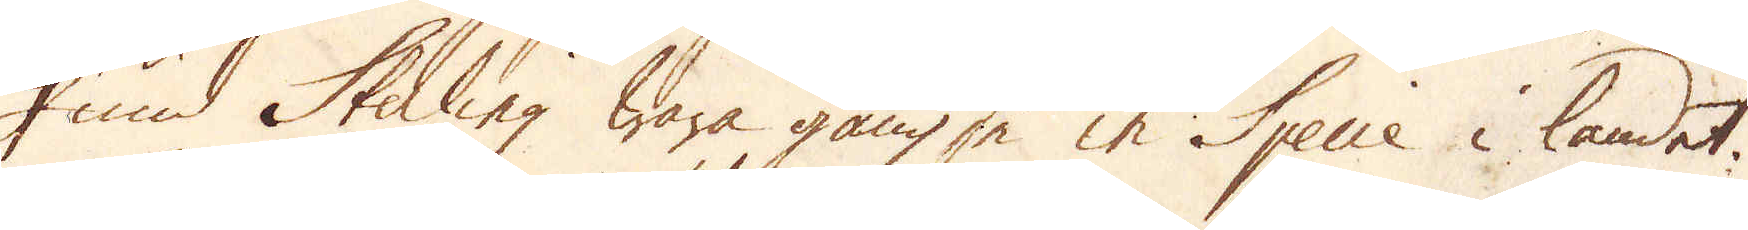Pund Sterling wara gängse in Specie i landet.
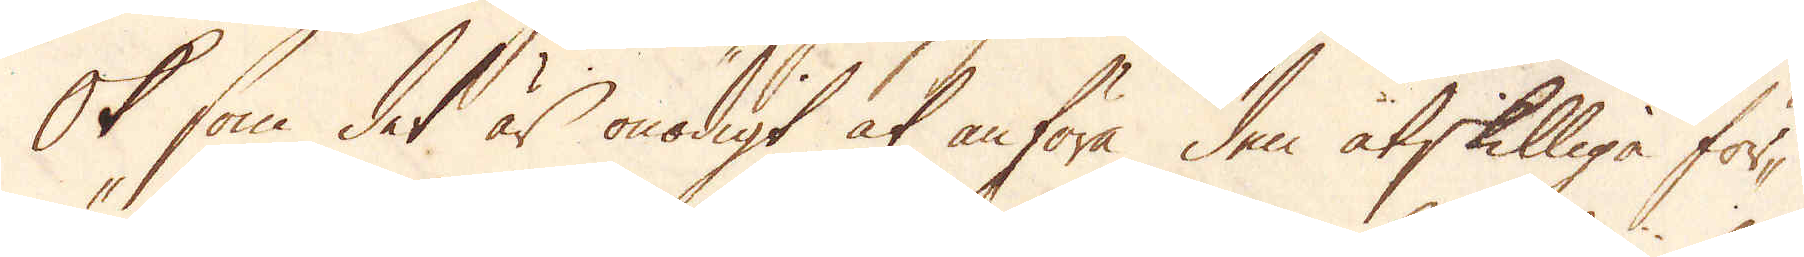Ok som det är onödigt at anföra den åtskilliga för-
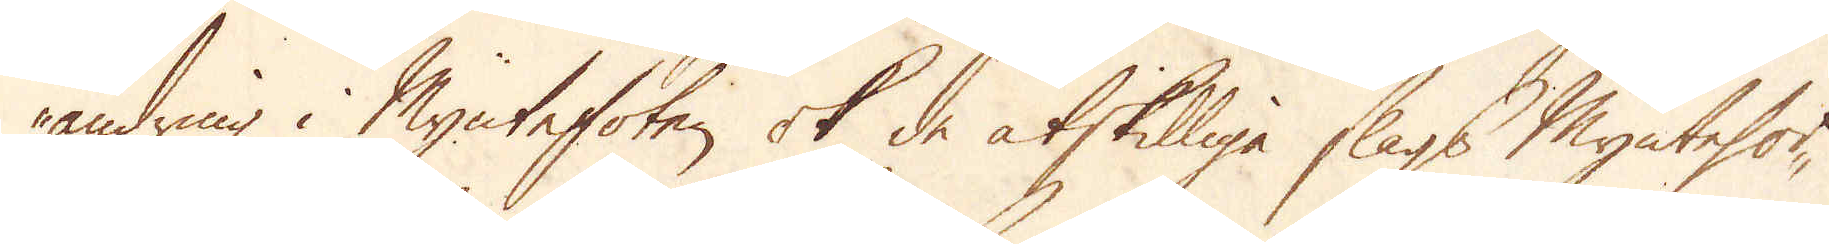ändring i Myntefoten ok de åtskilliga slags Myntesor-
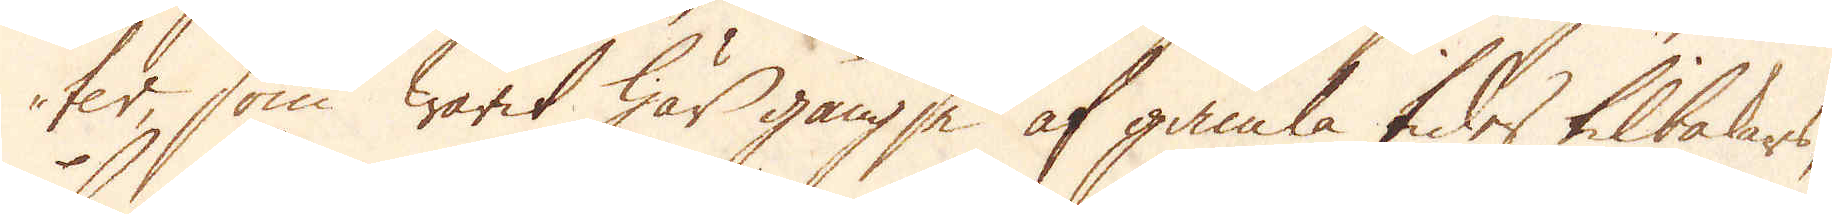ter, som warit här gängse af gamla tider tilbakars;
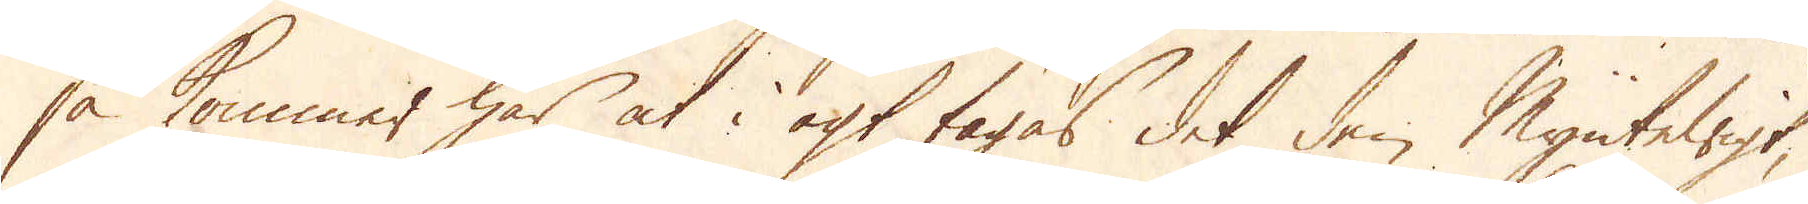så kommer här at i agt tagas det den MynteWigt,
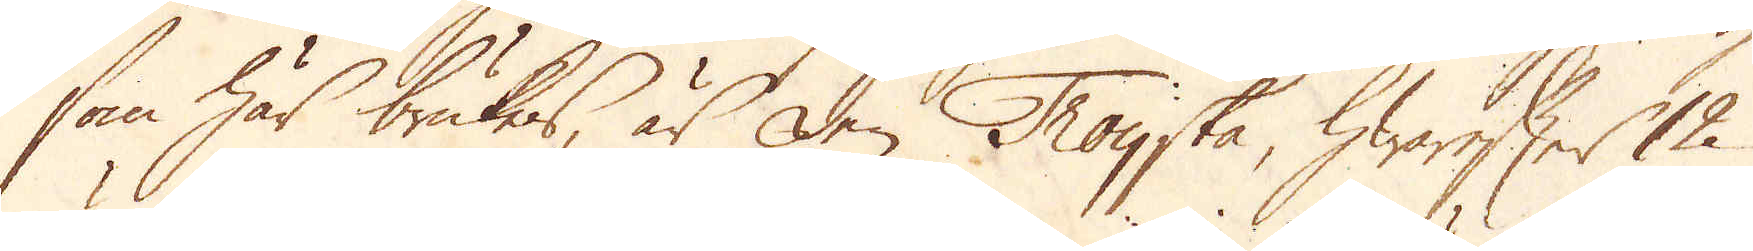som här brukas, är den Troyska, hwarefter 12
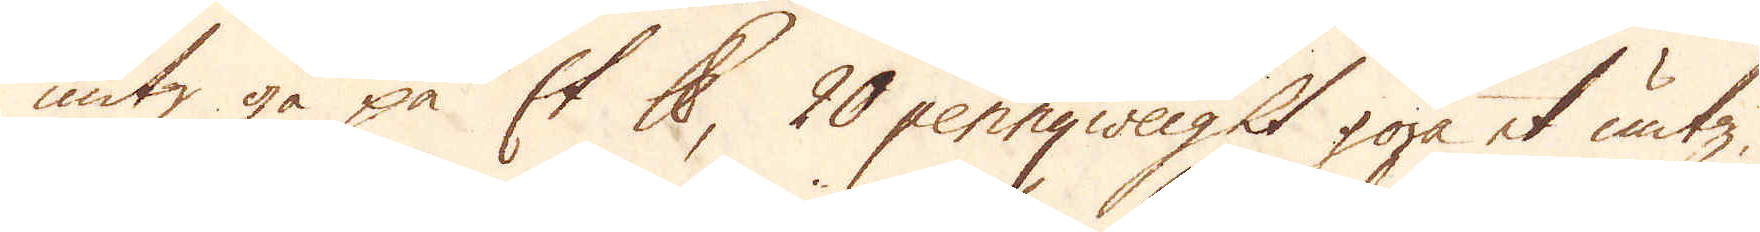untz gå på Et skålpund, 20 pennyweight göra et untz,
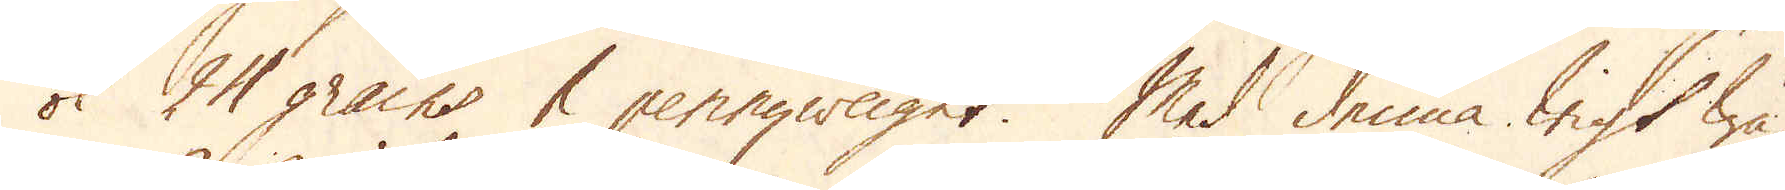ok 24 grains & pennyweiget. Med denna wigt wä-
